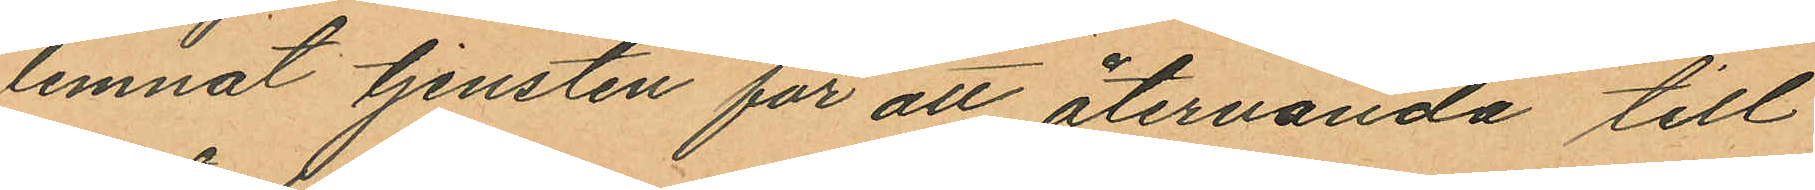lemnat tjensten för att återvända till
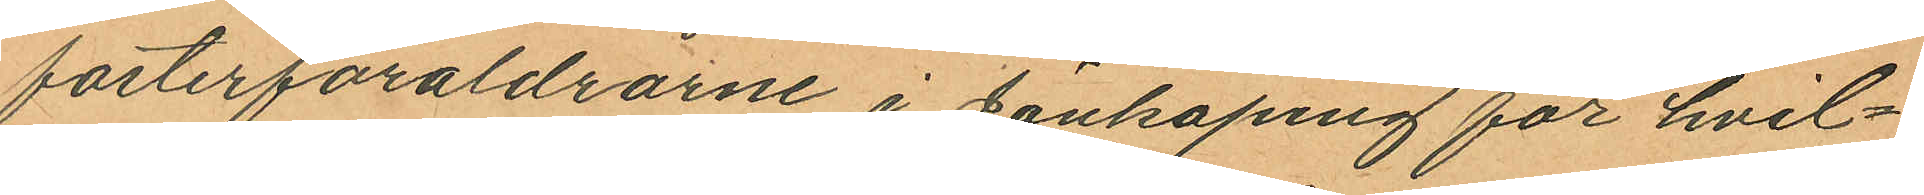fosterföräldrarne i Jönköping för hvil¬
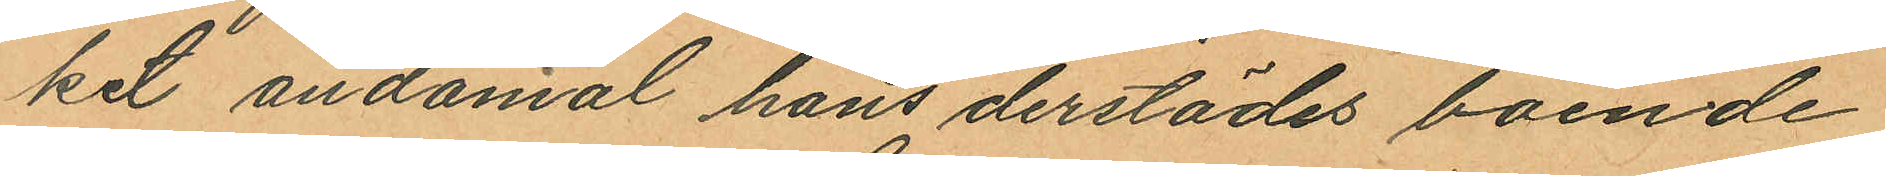ket ändamål hans derstädes boende
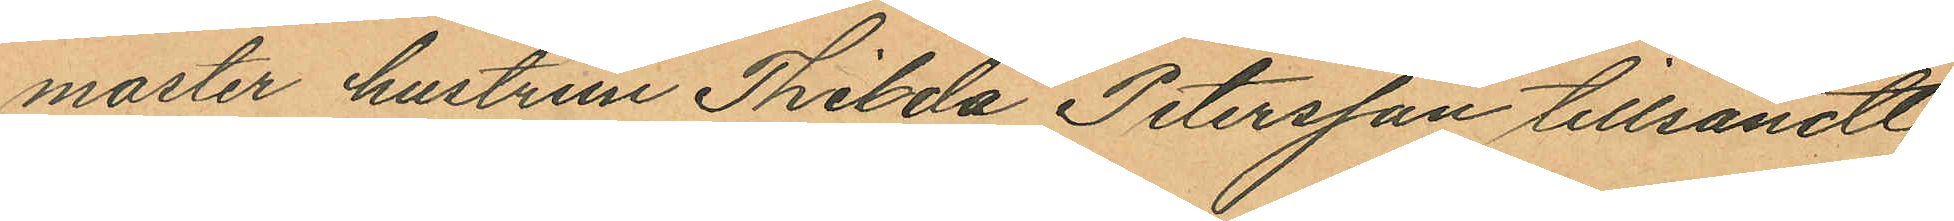moster hustrun Thilda Petersson tillsändt
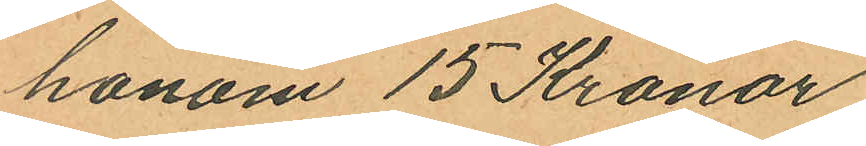honom 15 Kronor
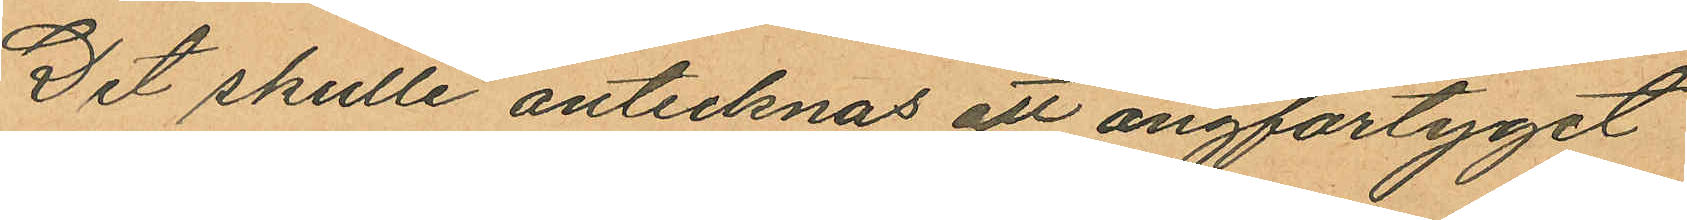Det skulle antecknas att ångfartyget
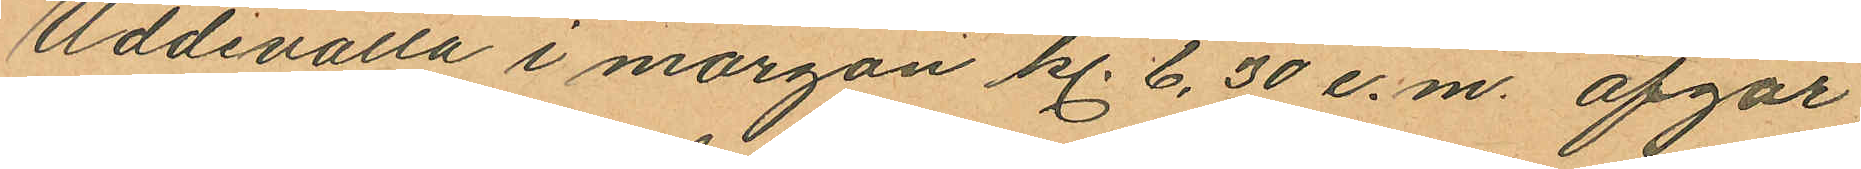Uddevalla i morgon kl. 6,30 e.m. afgår
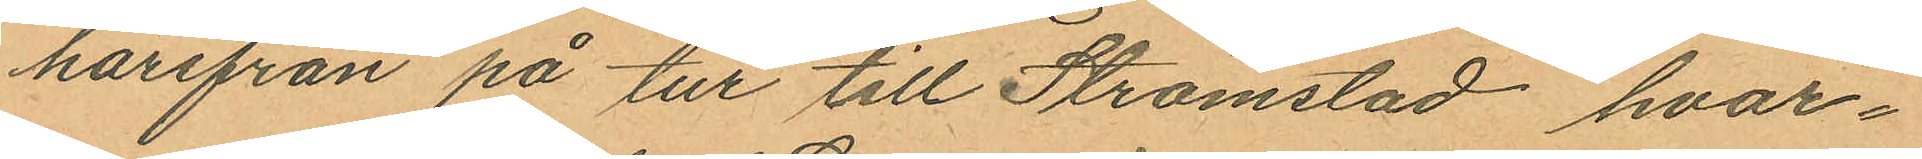härifrån på tur till Strömstad hvar¬
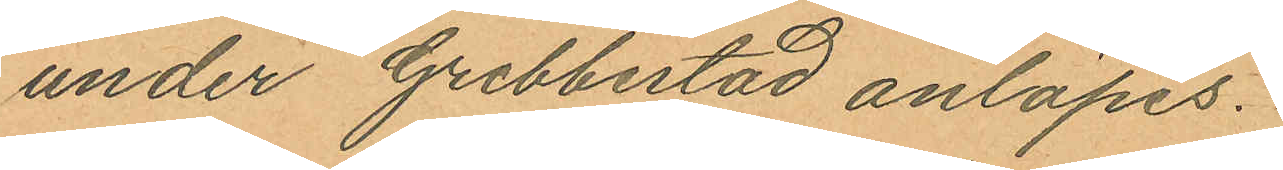under Grebbestad anlöpes.
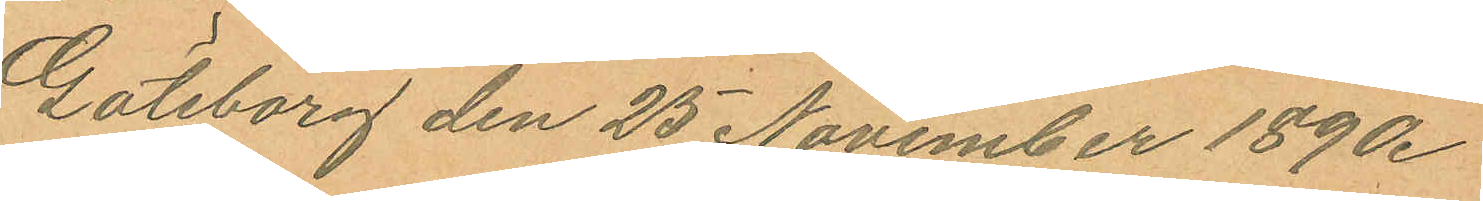Göteborg den 25 November 1890.
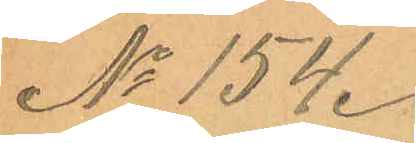No 154.
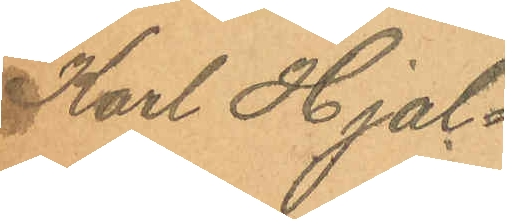Karl Hjal¬
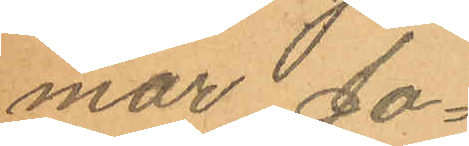mar Jo¬
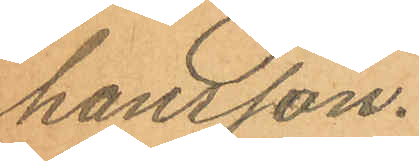hansson.
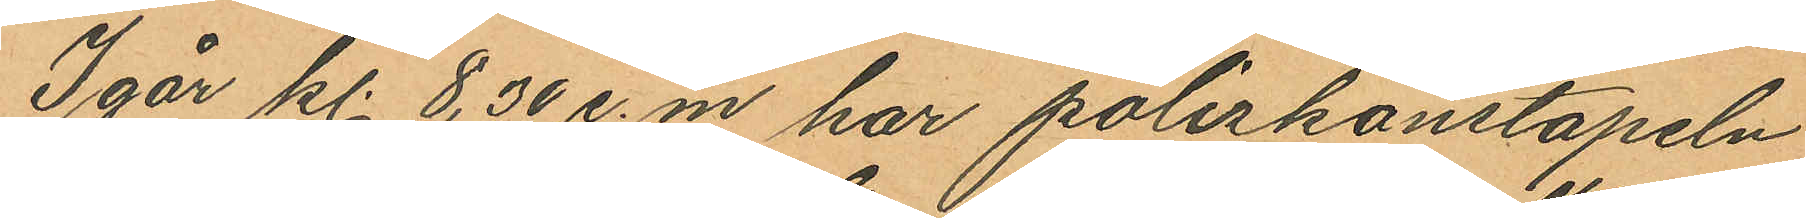Igår kl. 8,30 e.m har poliskonstapeln
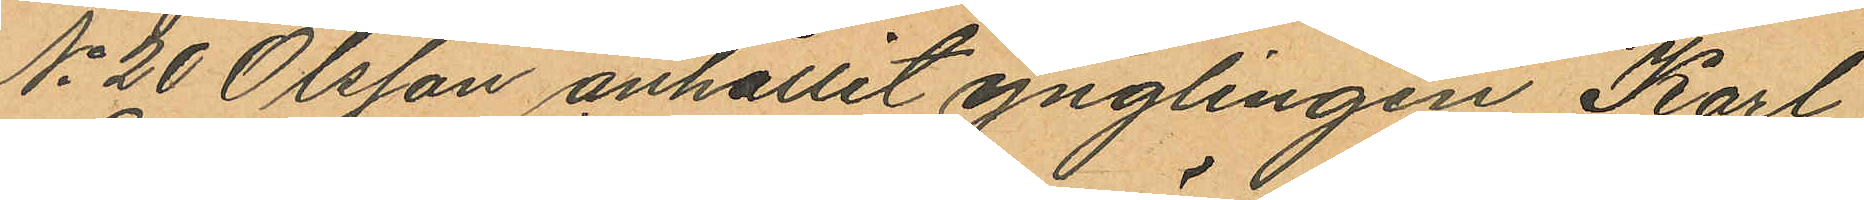No 20 Olsson anhållit ynglingen Karl
